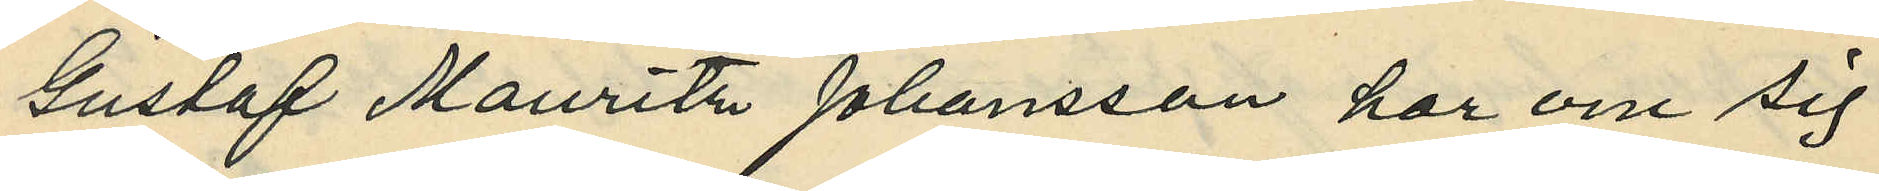Gustaf Mauritz Johansson har om sig
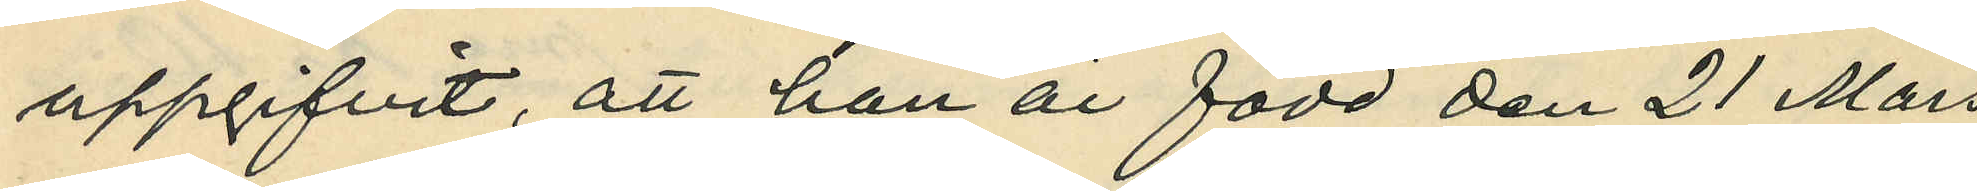uppgifvit, att han är född den 21 Mars
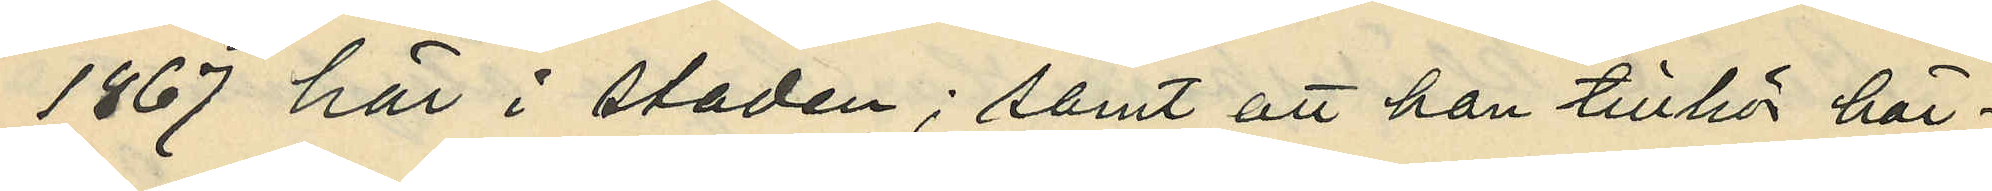1867 här i staden; samt att han tillhör här¬
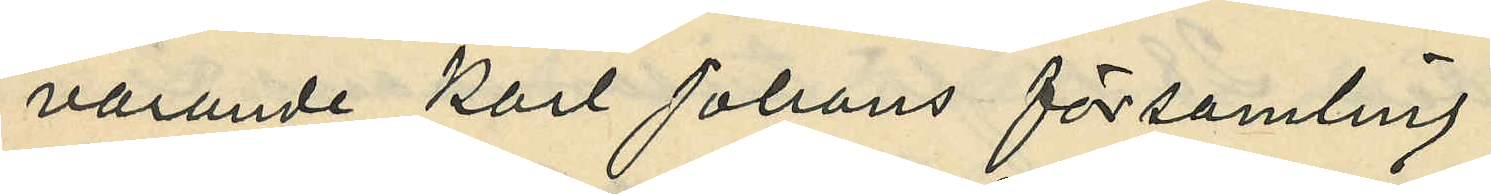varande Karl Johans församling.
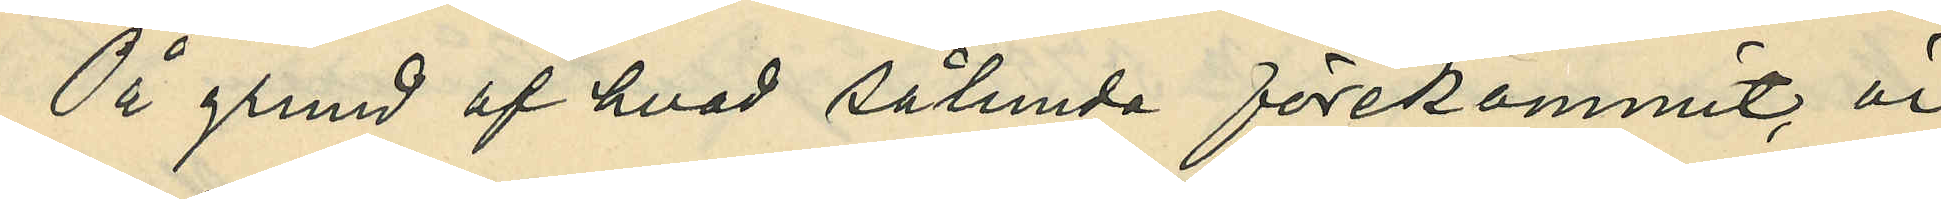På grund av hvad sålunda förekommit, är
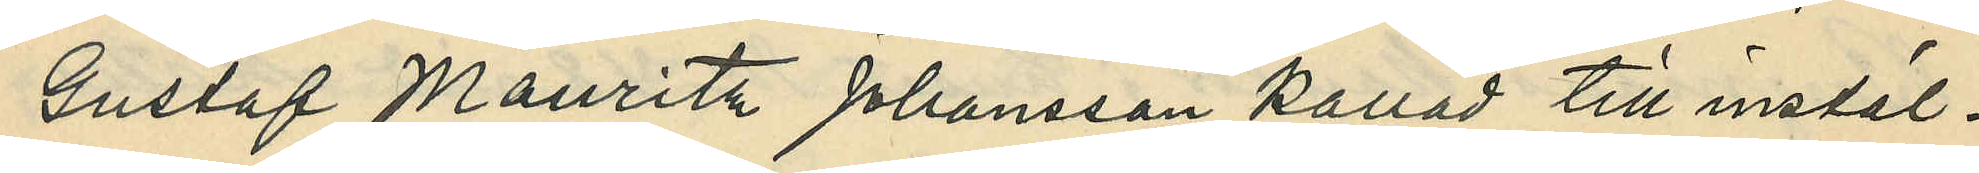Gustaf Mauritz Johansson kallad till instäl¬
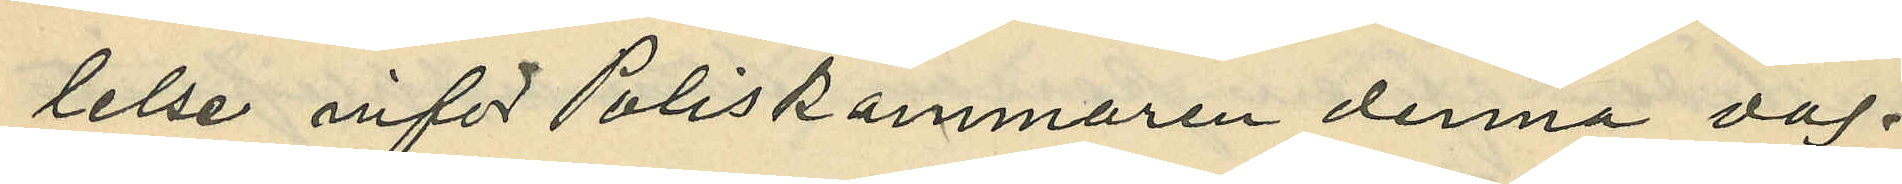lelse inför Poliskammaren denna dag.
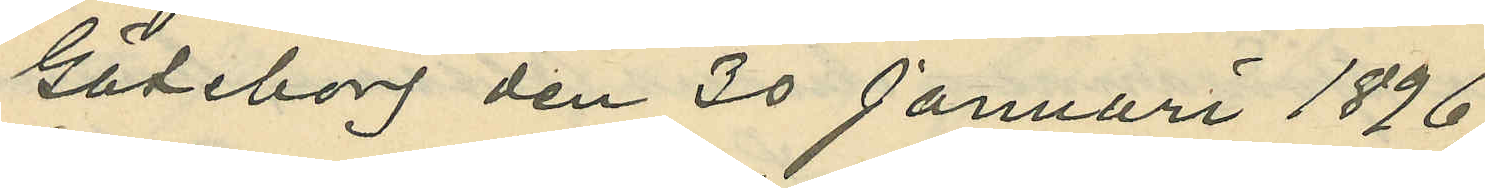Göteborg den 30 Januari 1896.
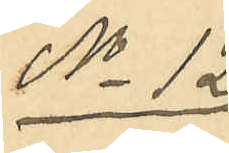No 12
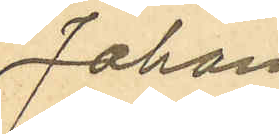Johan
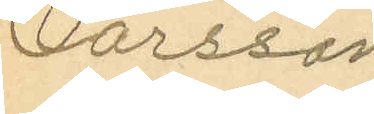Larsson
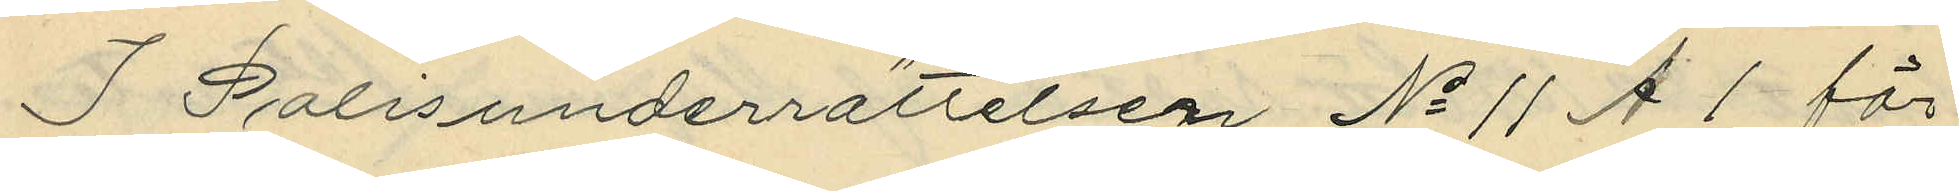I Polisunderrättelsen No 11 A 1 för
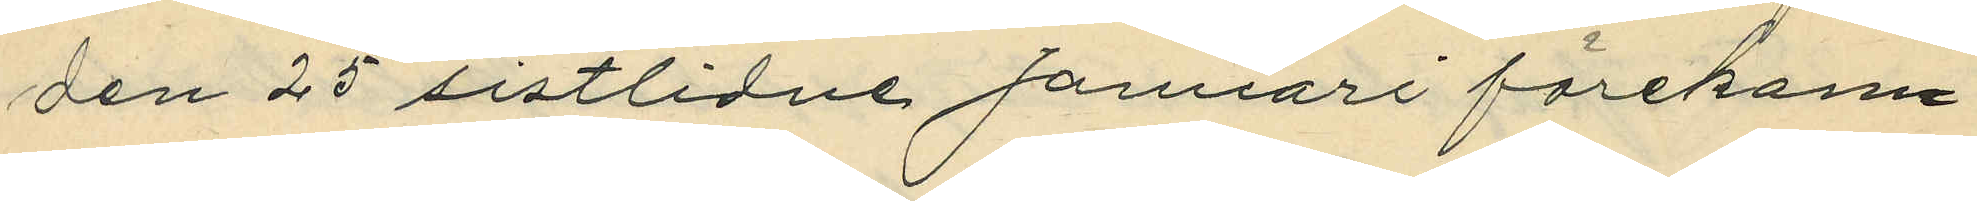den 25 sistlidne Januari förekom¬
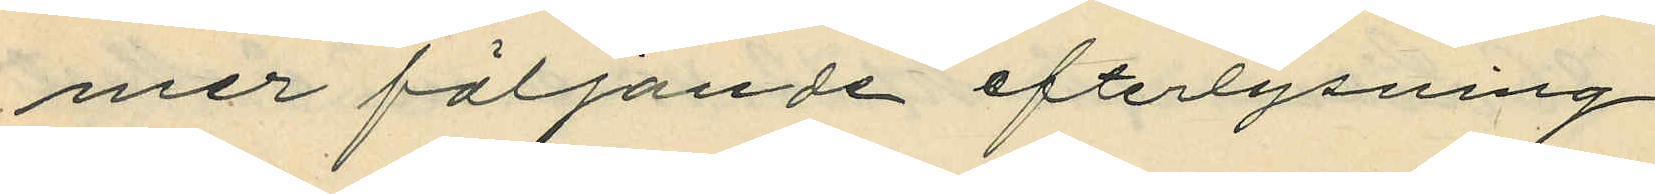mer följande efterlysning.
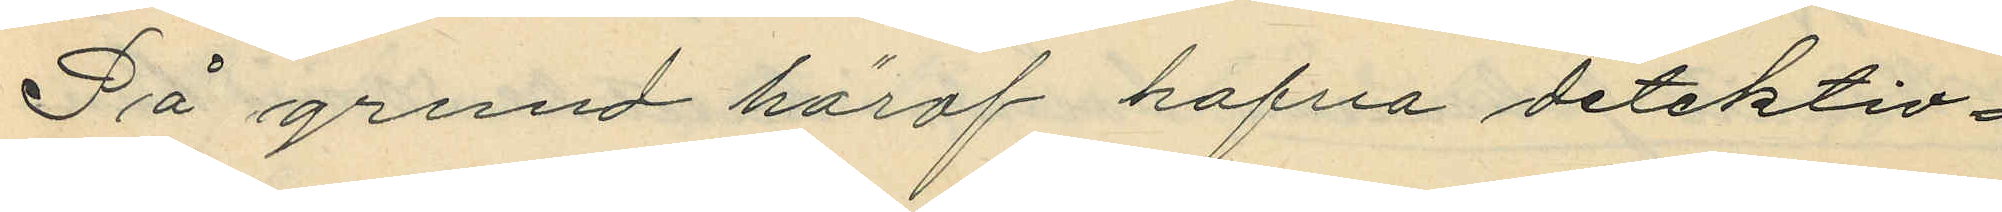På grund häraf hafva detektiv¬
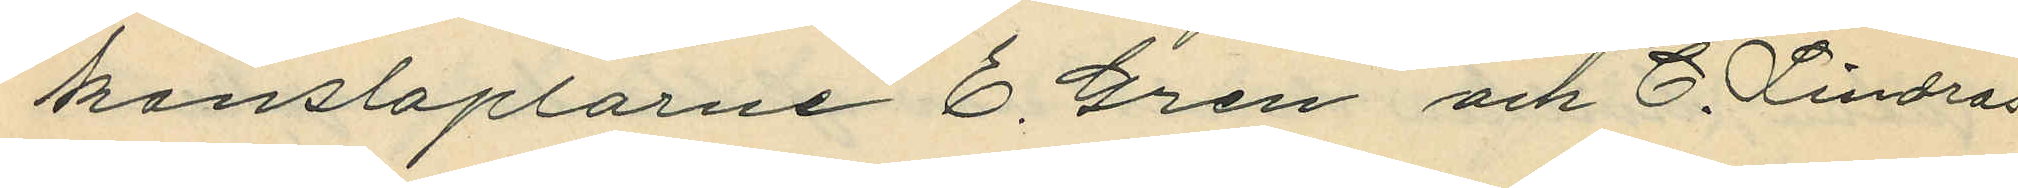konstaplarne E. Gren och C. Lindros
